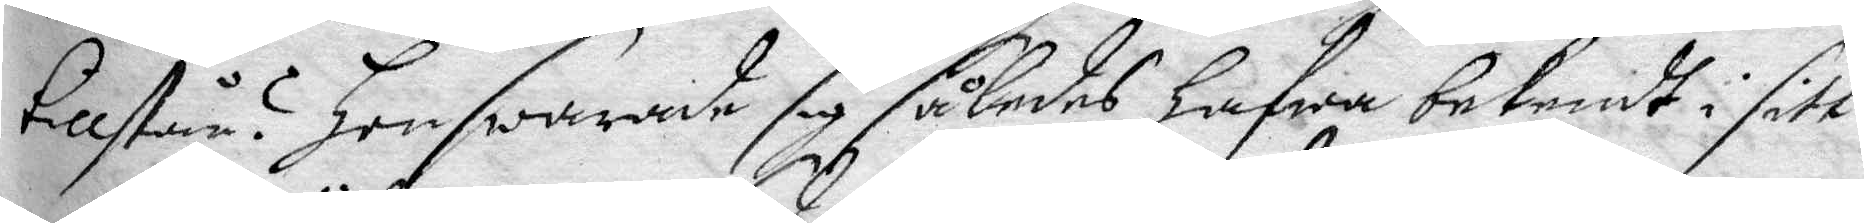tillstår? hon swarade således hafwa bekendt i sitt
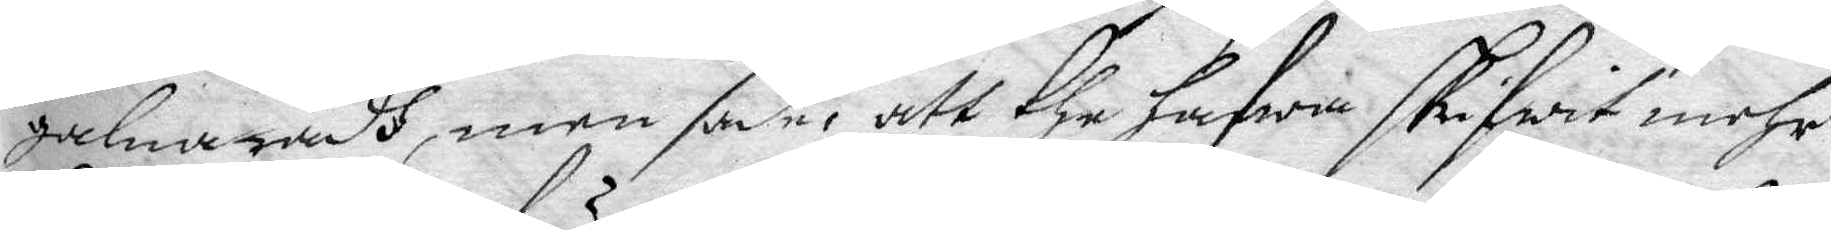galna rådh, men sade, att the hafwa skrifwit mehr
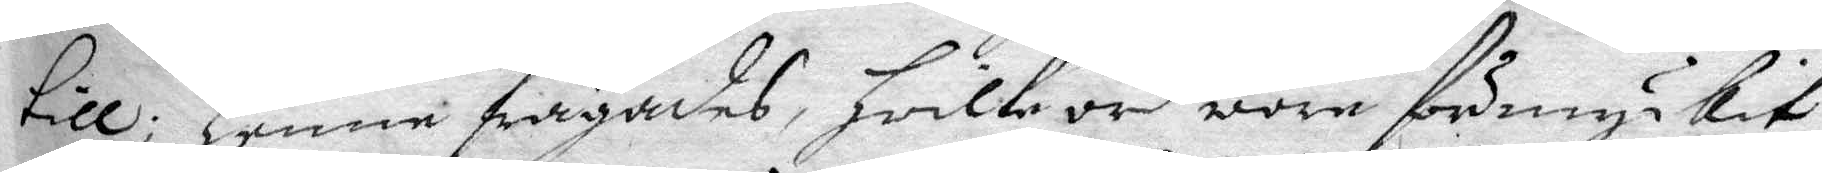till; henne säyandes, hwilke ord wore förmyckit
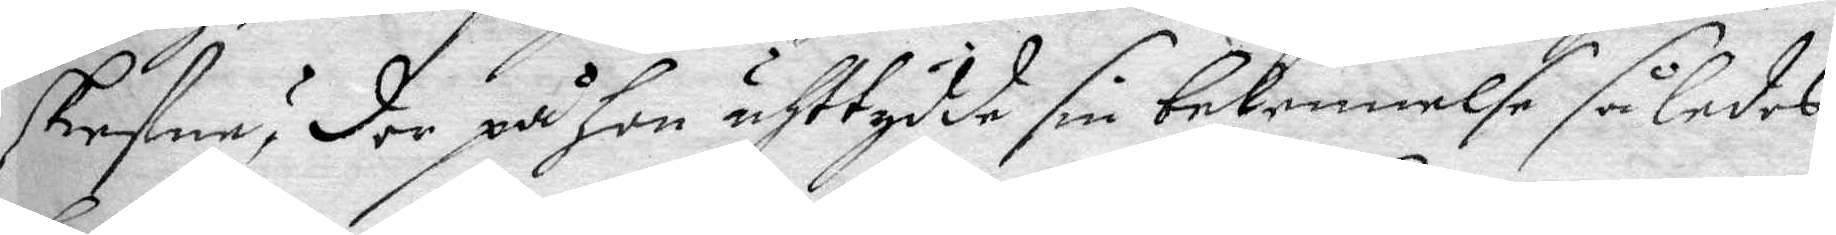skrefne? der på hon uhttydde sin bekennelse således
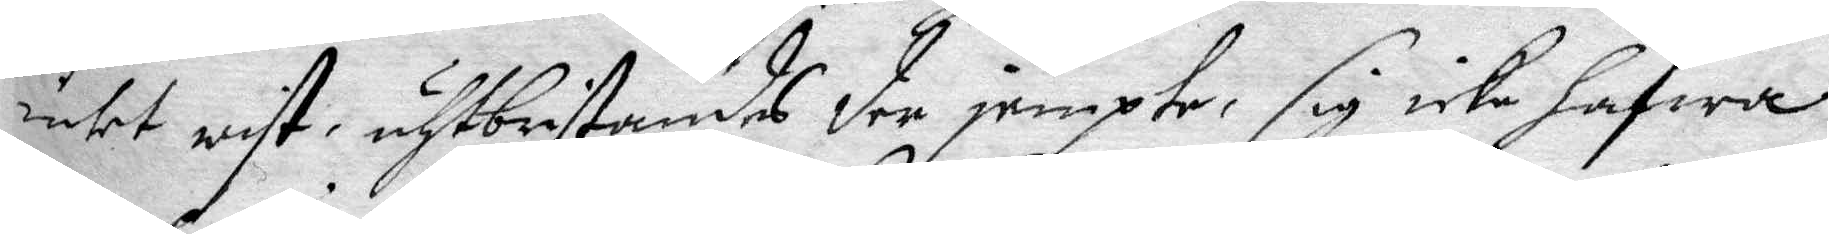hafwa warit, att kanske hon förde barn, men wiste
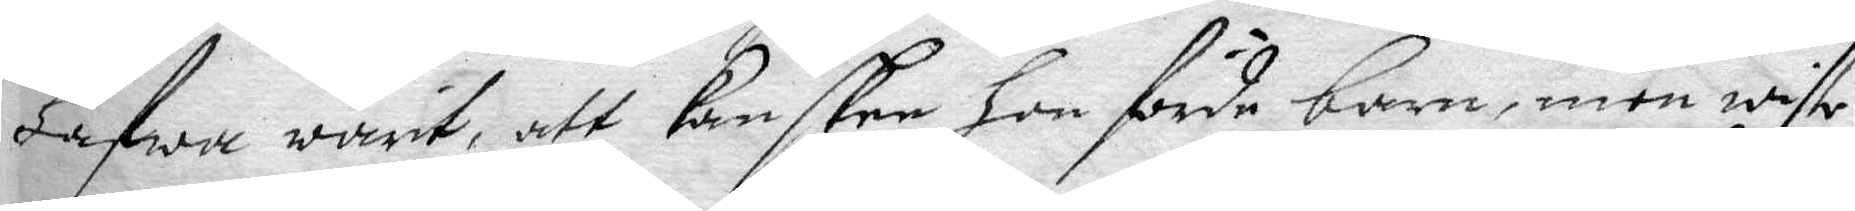intet wist, uhtbristandes der jempte, sig icke hafwa
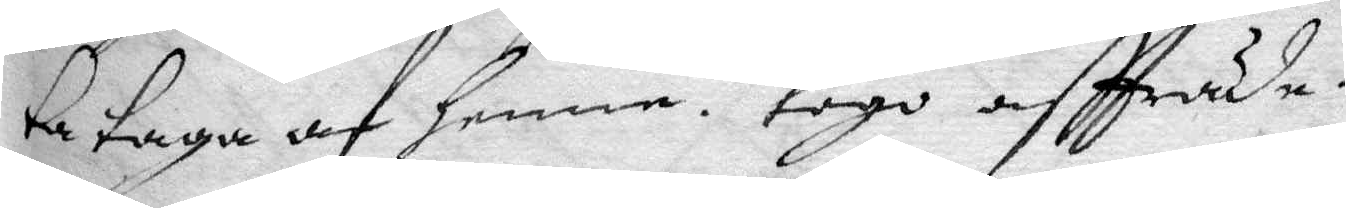mehr än ett lyf, hwilket hon bad Rätten wille lå¬
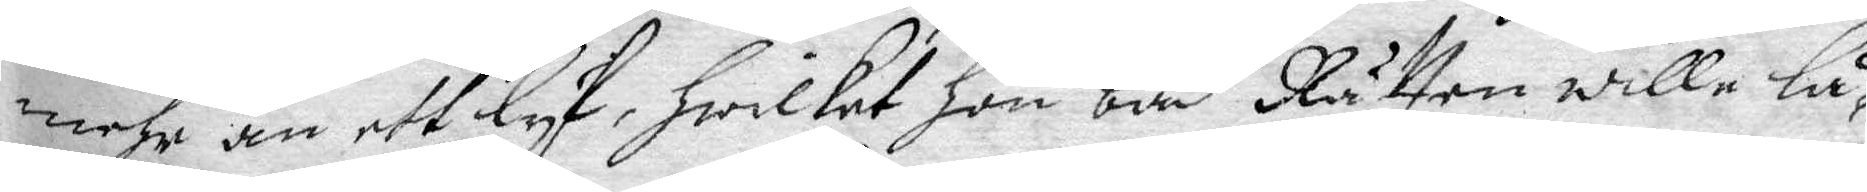ta taga af henne. togo aftträde.
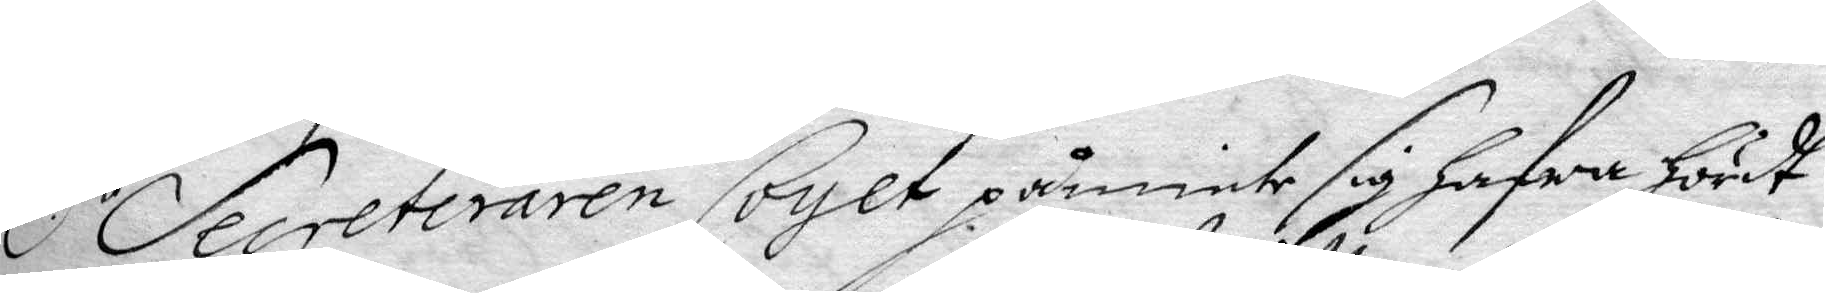hl.r secreteraren Coyet påminte sig hafwa hördt
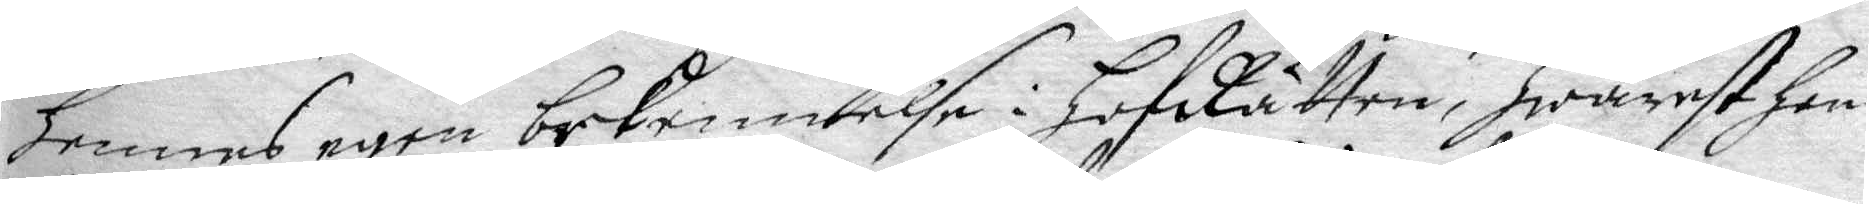hennes egen bekennelse i HofRätten, hwarest hon
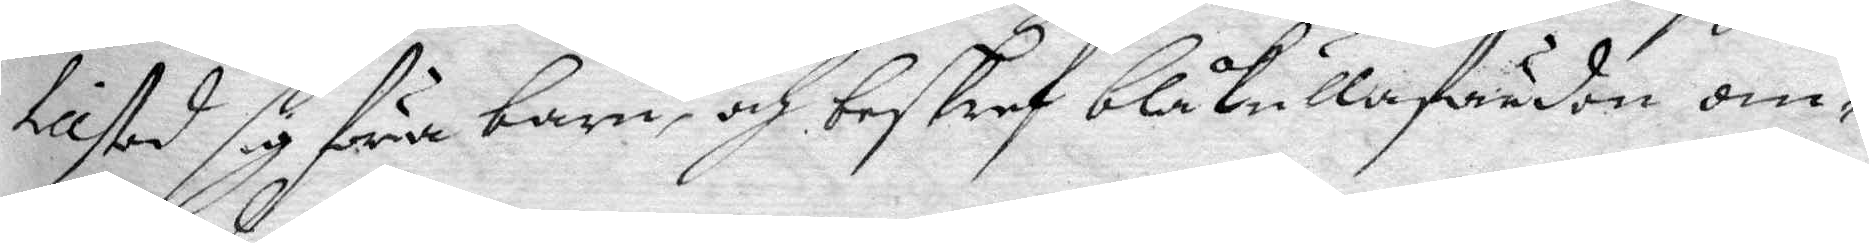tillstod föra barn, och beskref blåkullafärden om¬
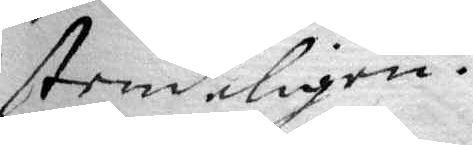stendeligen.
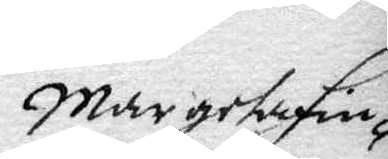Margeta Fin¬
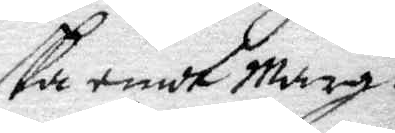ska emot Marg.
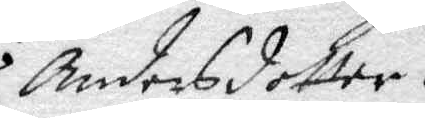Andersdotter.
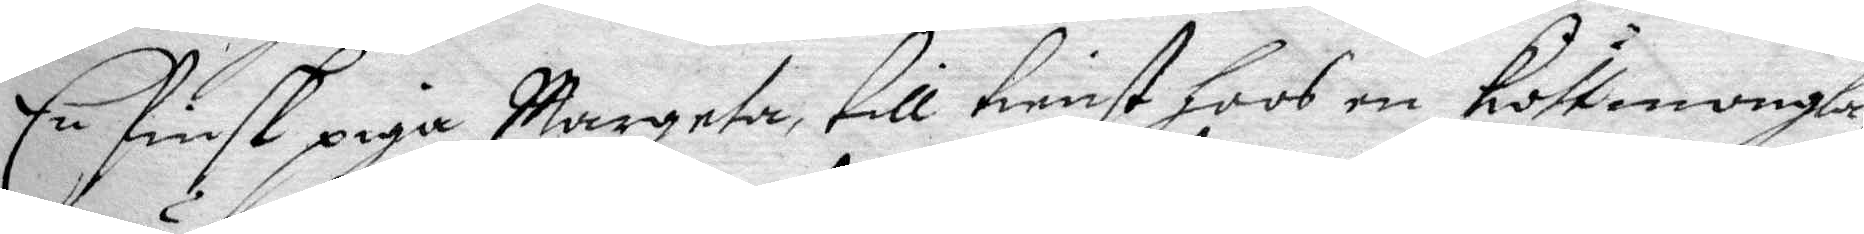En Finsk piga Margeta till tienst hoos en Köttmongla¬
